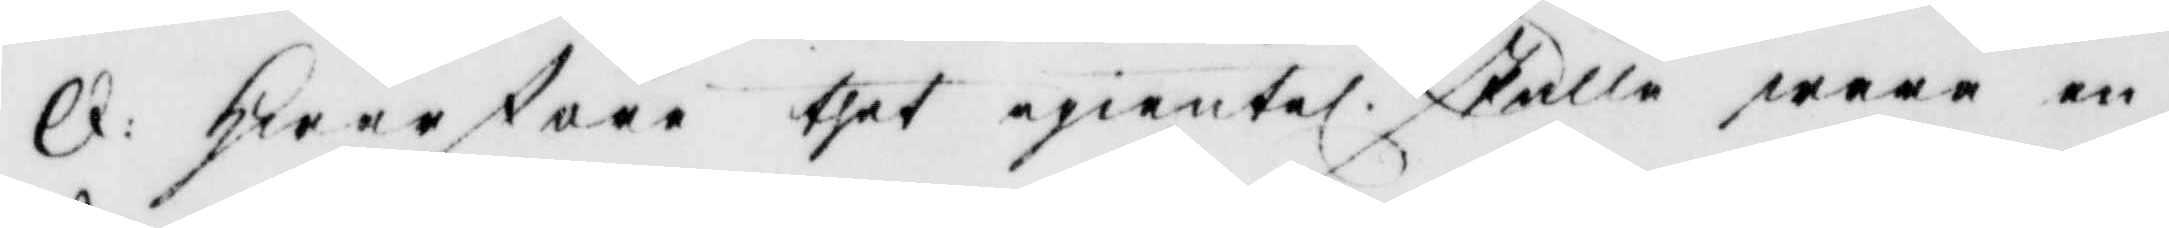Q: Hwarföre thet egientel. skulle wara en 
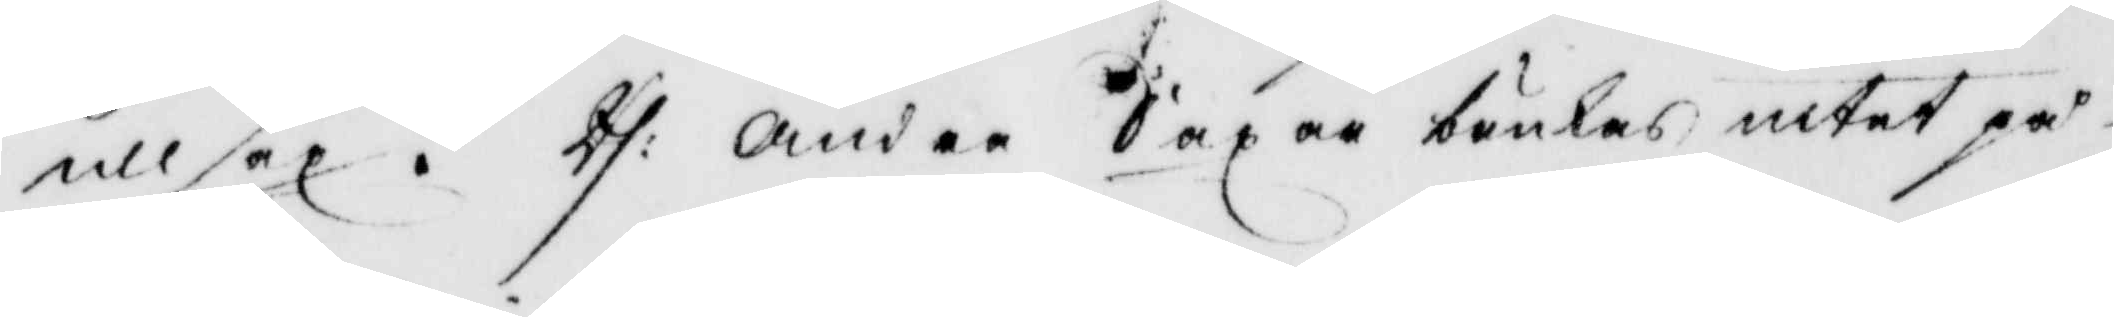ullsax? Rs:. Andre Saxar bruka, intet på 
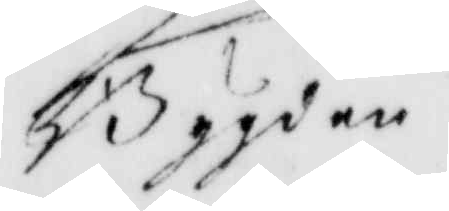Bygden.
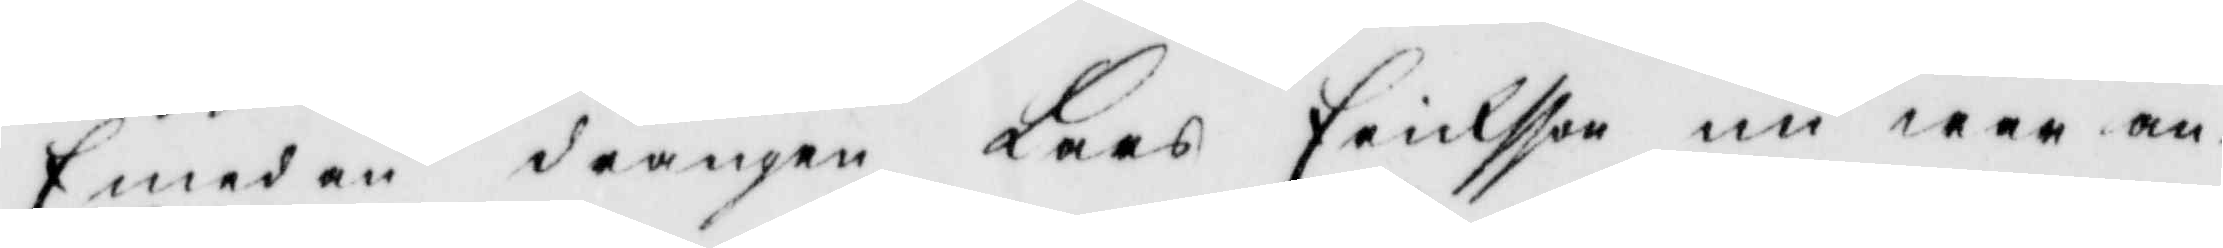Emedan drängen Lars Erichsson nu war an¬
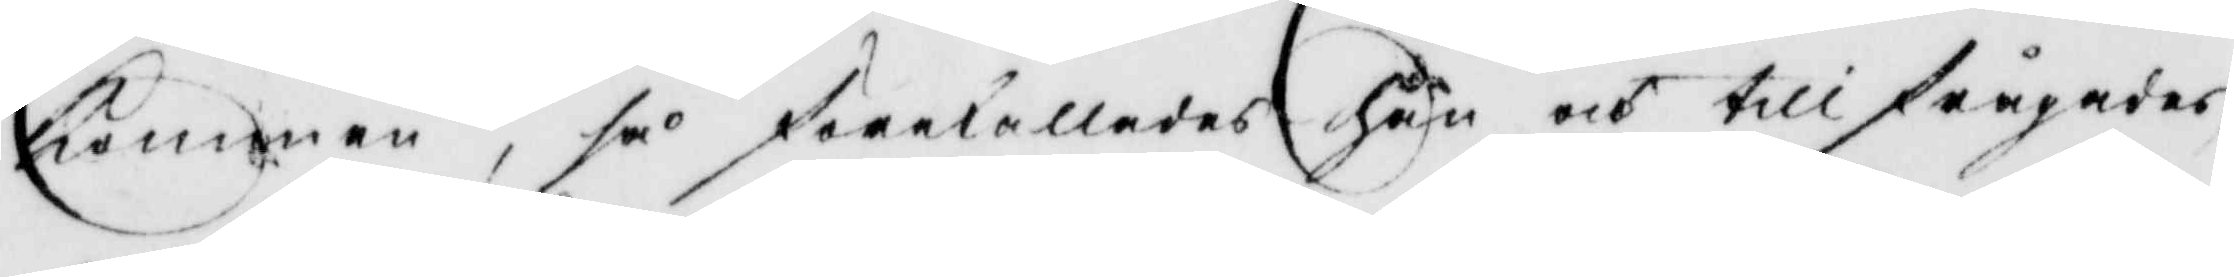Kommen, så förekallades han och tillfrågades
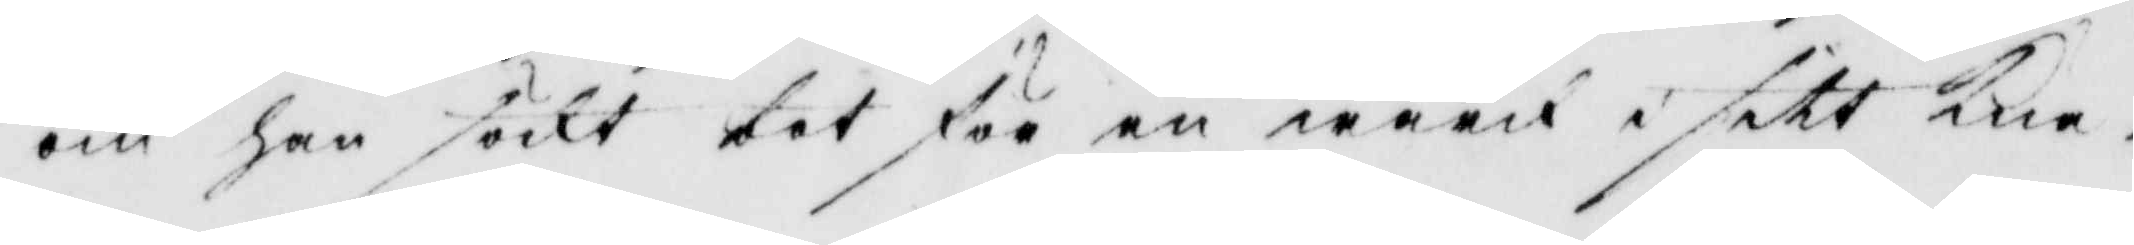om han sökt bot för en wärk i sitt Knä
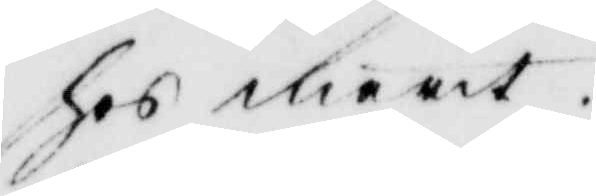hos marit.
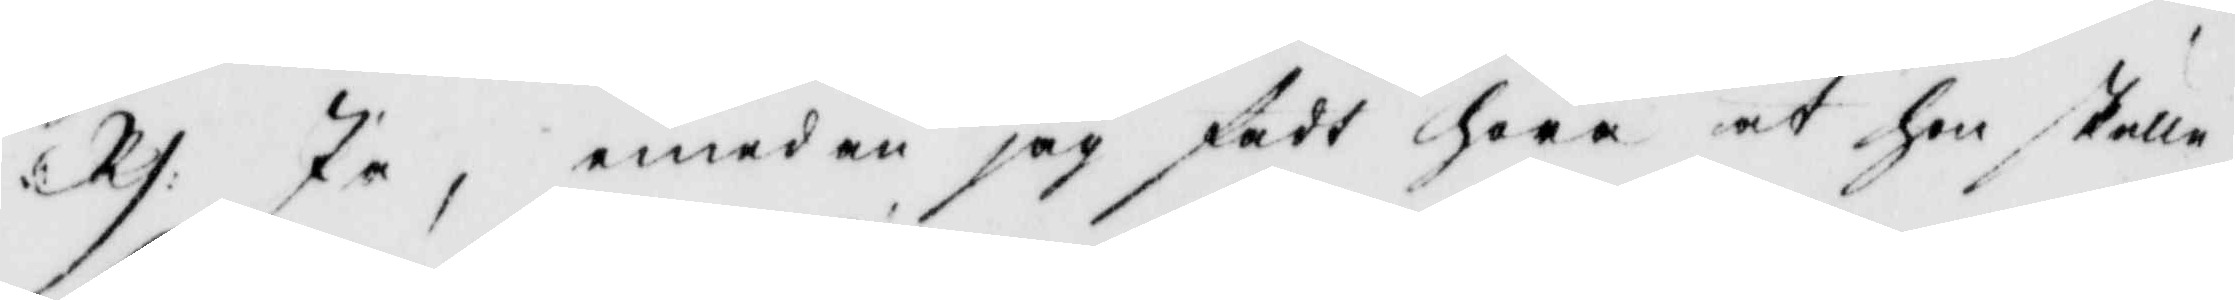Rs: Ja, emedan jag fådt höra at Hon skulle 
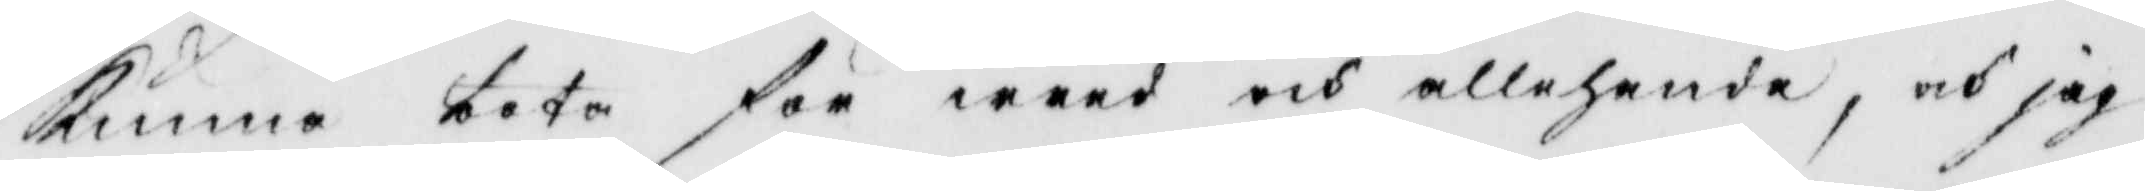kunna bota för wred och allehanda, och jag
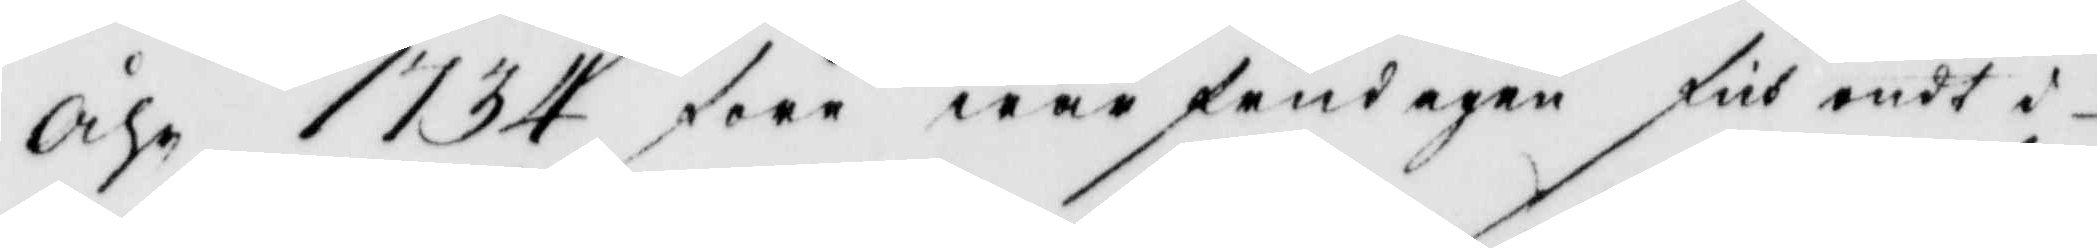åhr 1734 före wår frudagen fåt ondt i
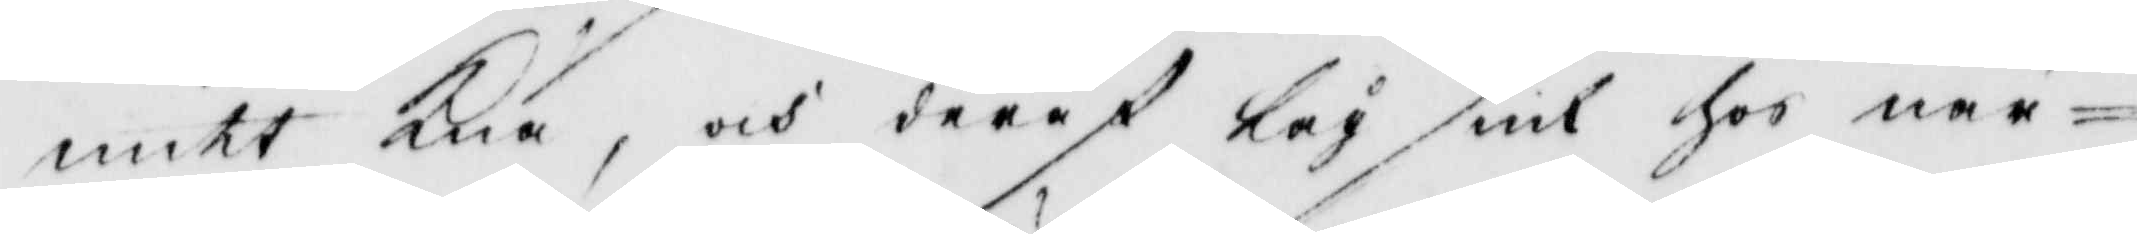mitt Knä, och deraf låg siuk hos när¬
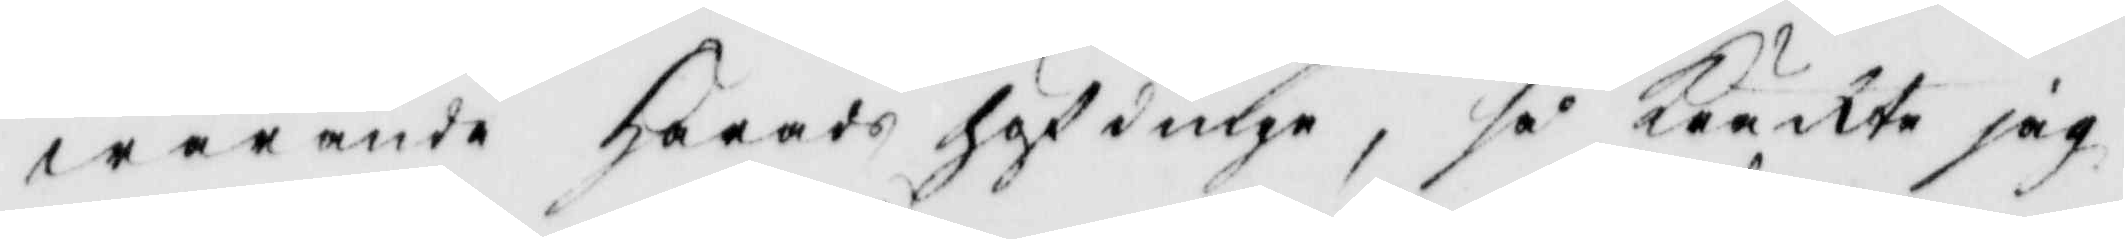warande Härads höfdinge, så Kräkte jag
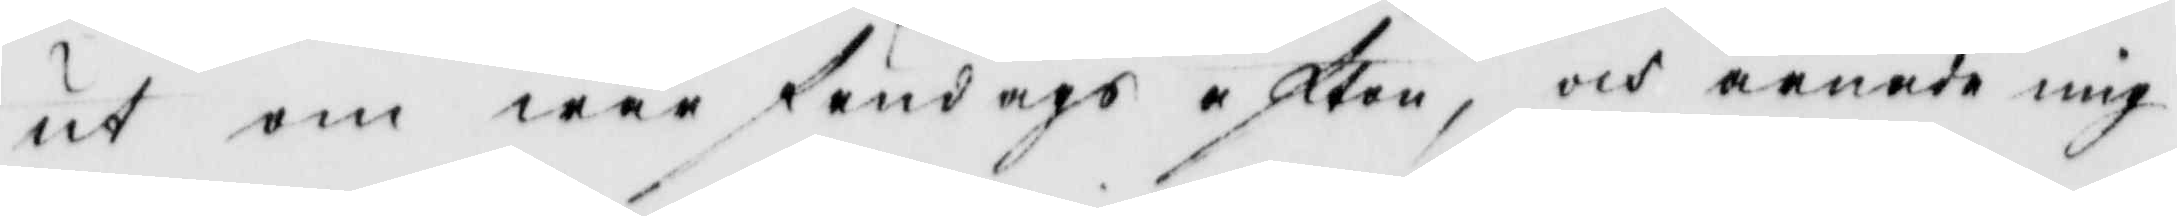ut om wår frudaghs afton, och ärnade mig
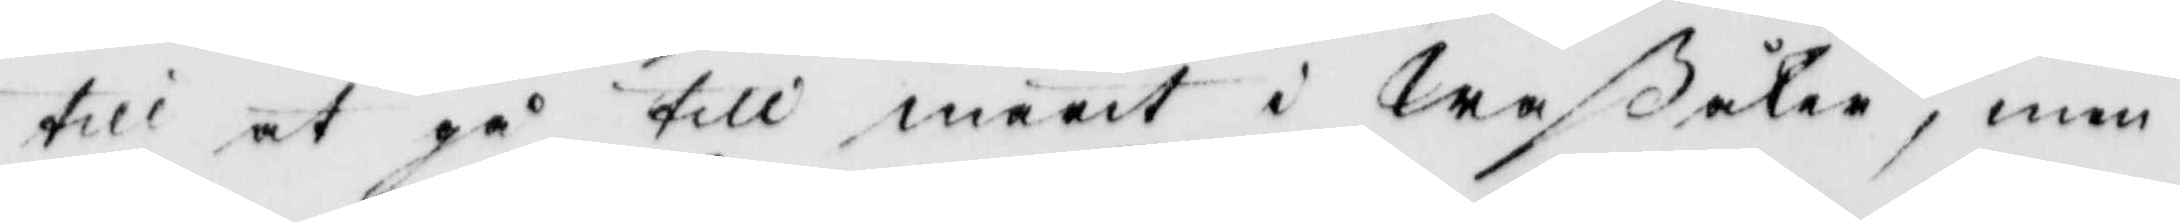till at gå till marit i Waßåker, men
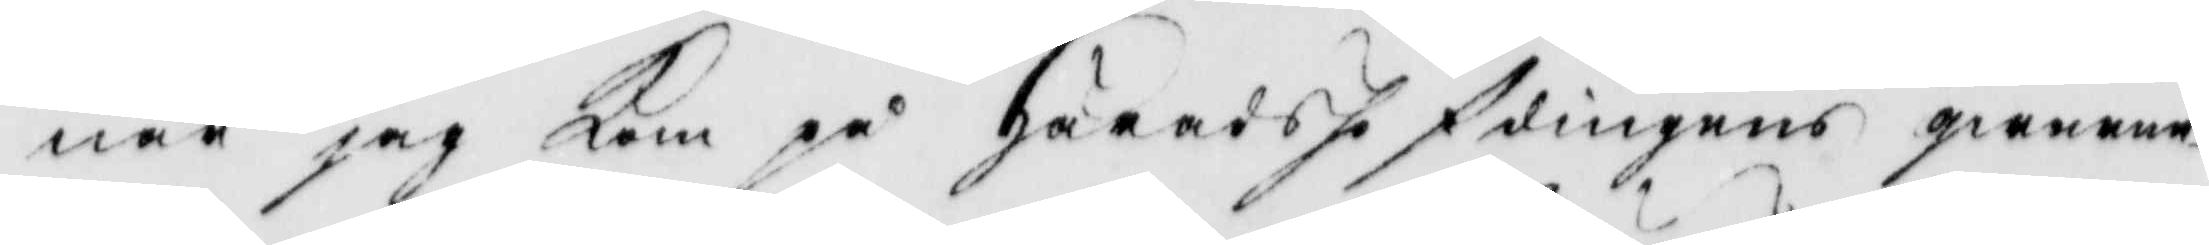när jag kom på Häradshö fdingens qwarne¬
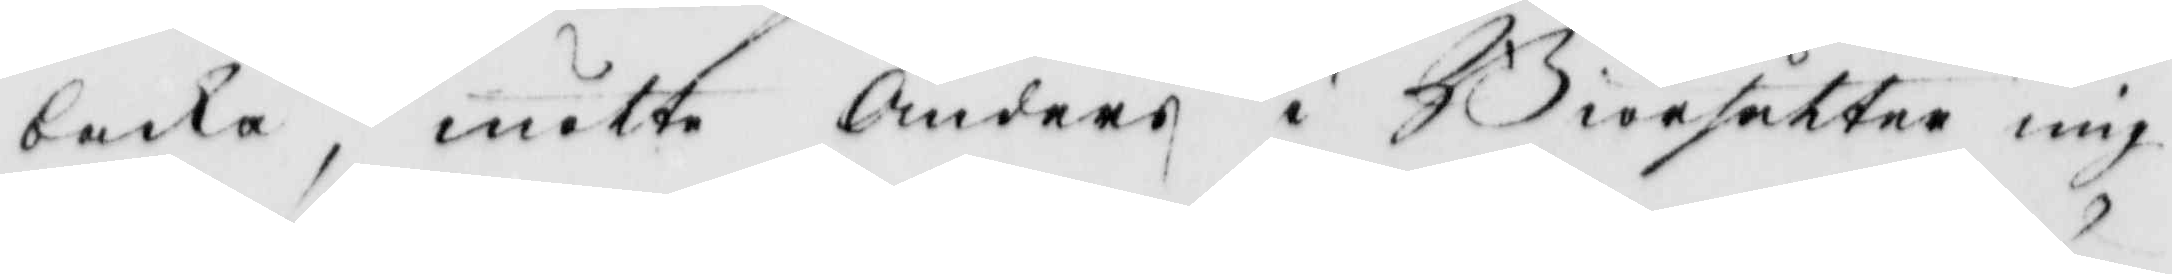backa, mötte Anders i Biörsätter mig
